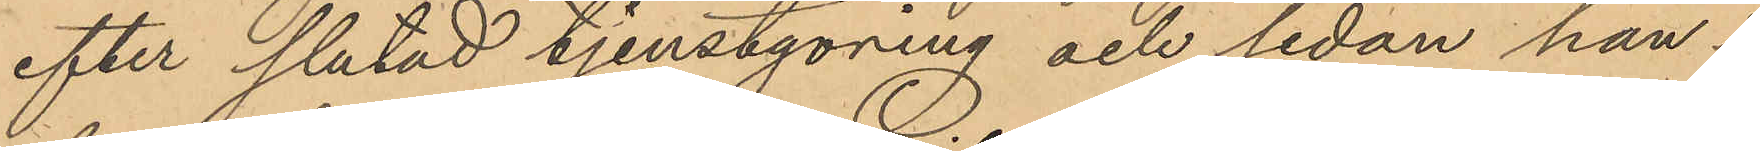efter slutad tjenstgöring och sedan han i
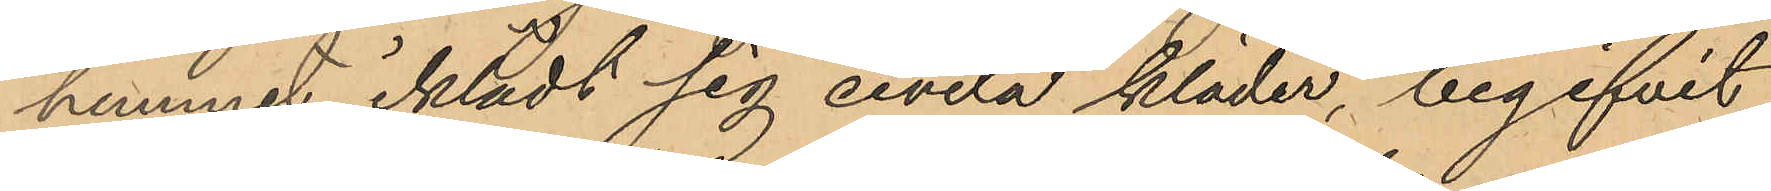hemmet iklädt sig civila kläder, begifvit
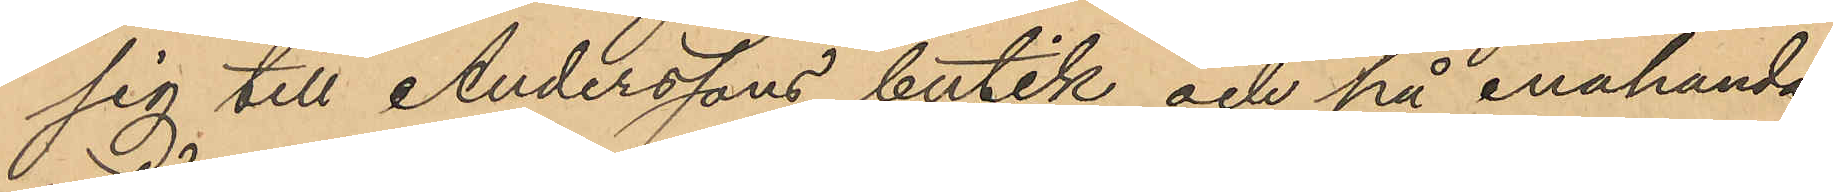sig till Anderssons butik och på enahanda
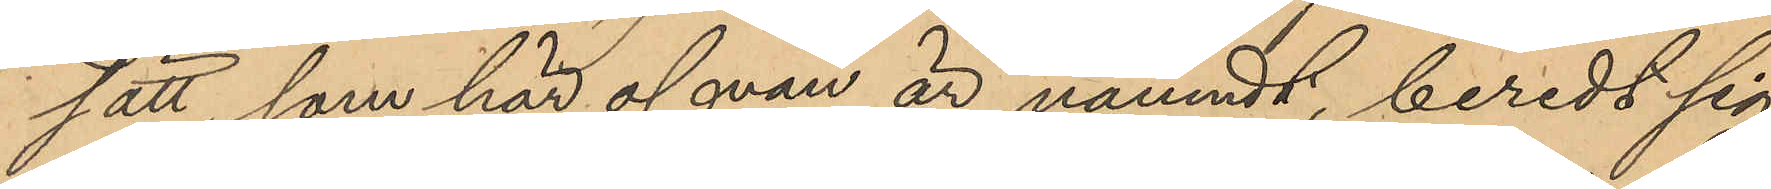sätt, som här ofvan är nämndt, beredt sig
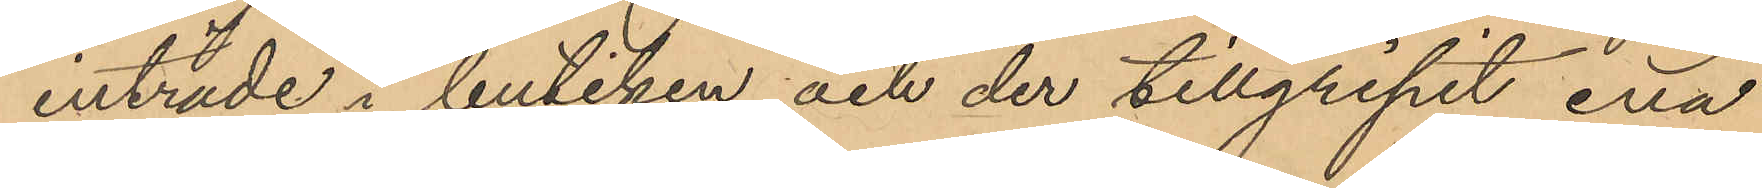inträde i butiken och der tillgripit ena
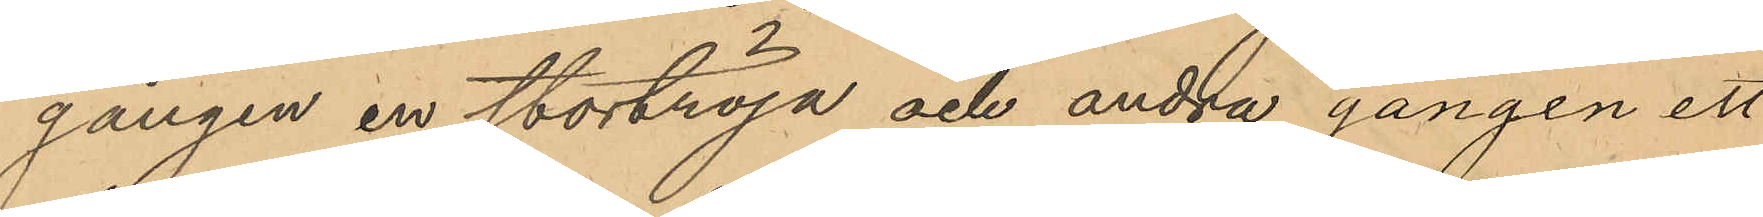gången en stortröja och andra gången ett
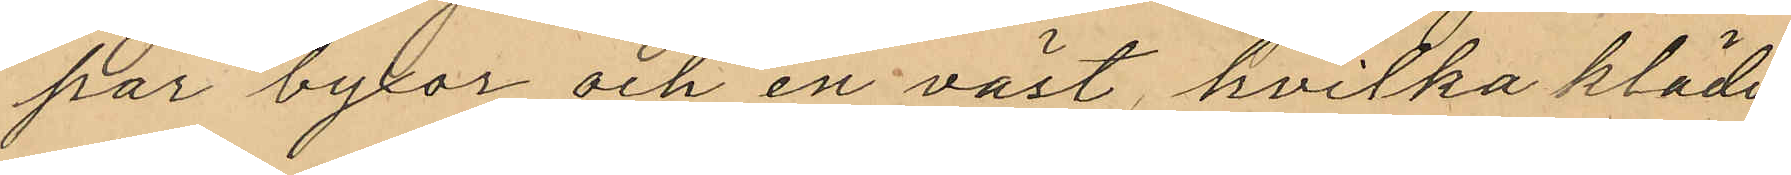par byxor och en väst, hvilka kläder
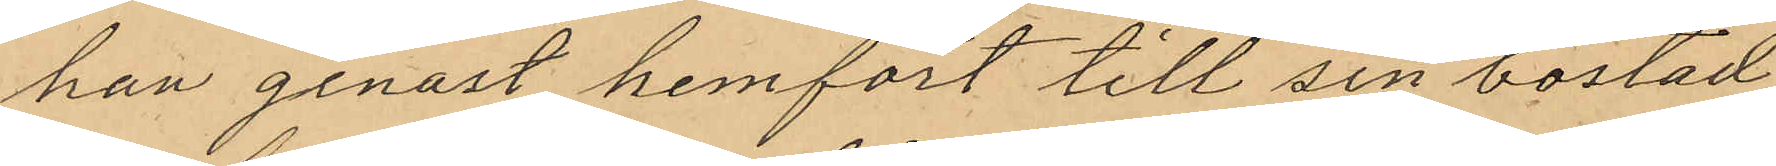han genast hemfört till sin bostad
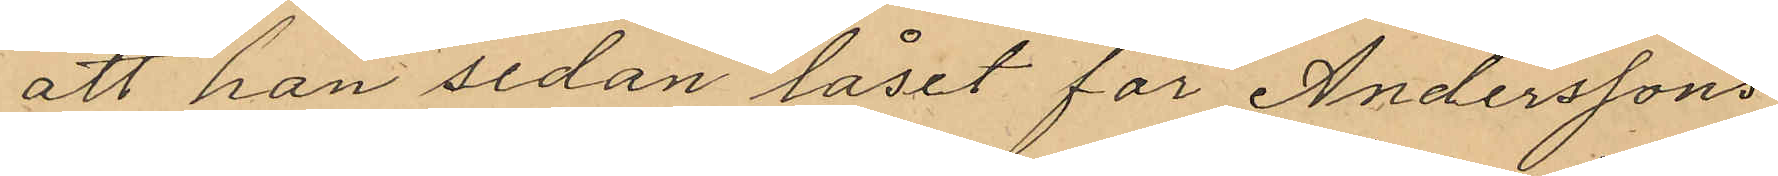att han sedan låset för Anderssons
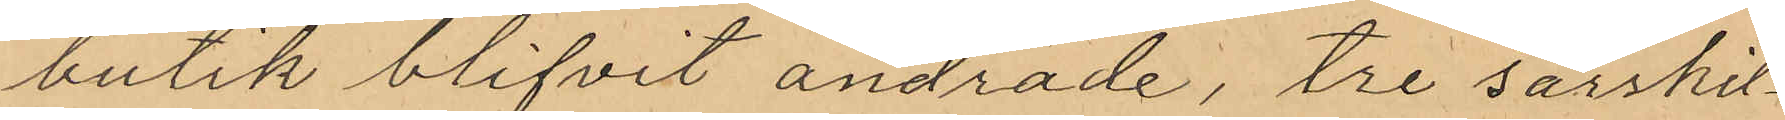butik blifvit ändrade, tre särskil¬
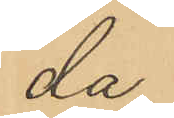da
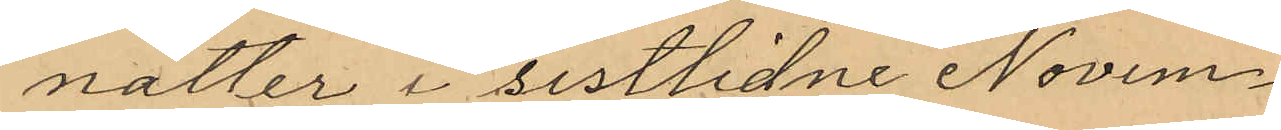nätter i sistlidne Novem¬
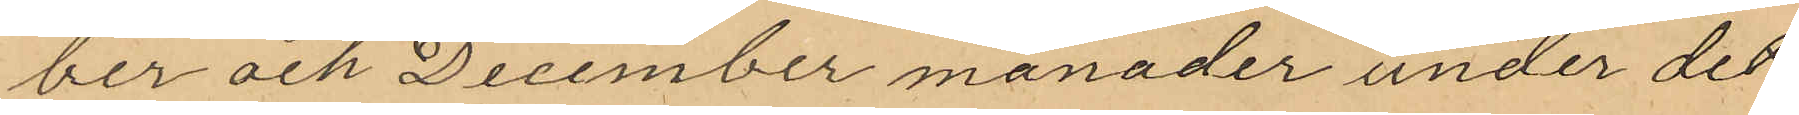ber och December månader under det
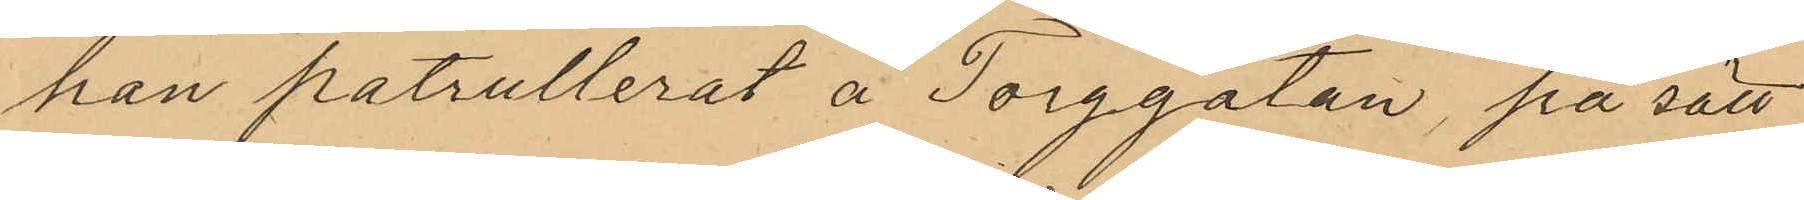han patrullerat å Torggatan, på sätt
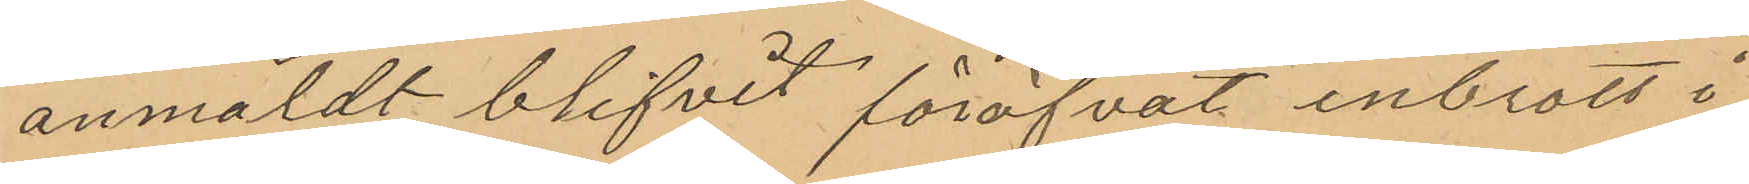anmäldt blifvit föröfvat inbrott i
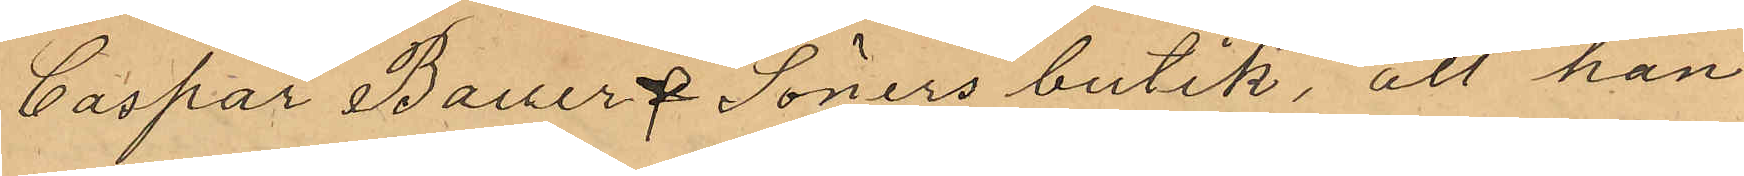Caspar Bauer & Söners butik, att han
